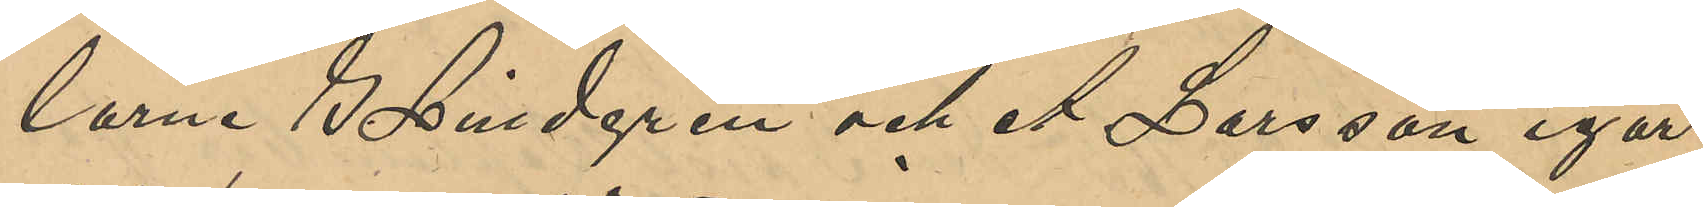larne S. Lindgren och A. Larsson igår
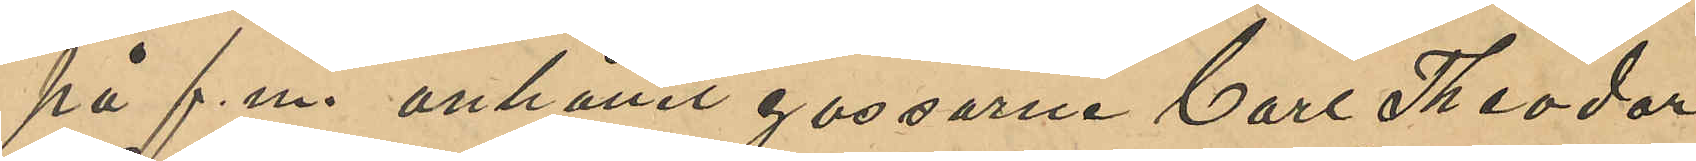på f. m. anhållit gossarne Carl Theodor
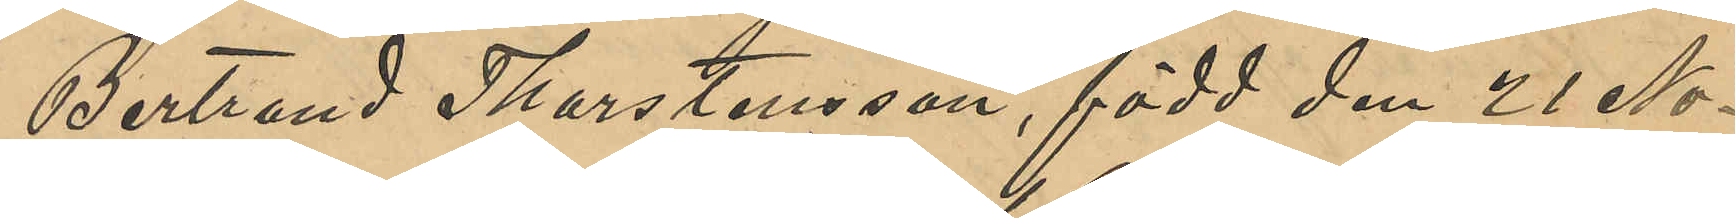Bertrand Thorstensson, född den 21 No¬
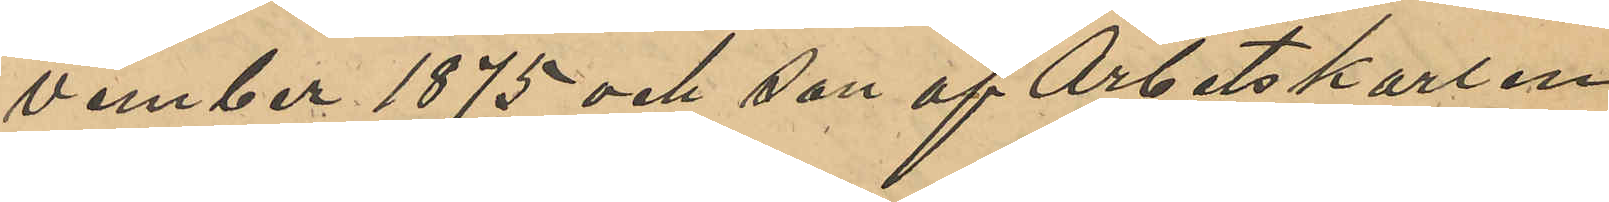vember 1875 och son af Arbetskarlen
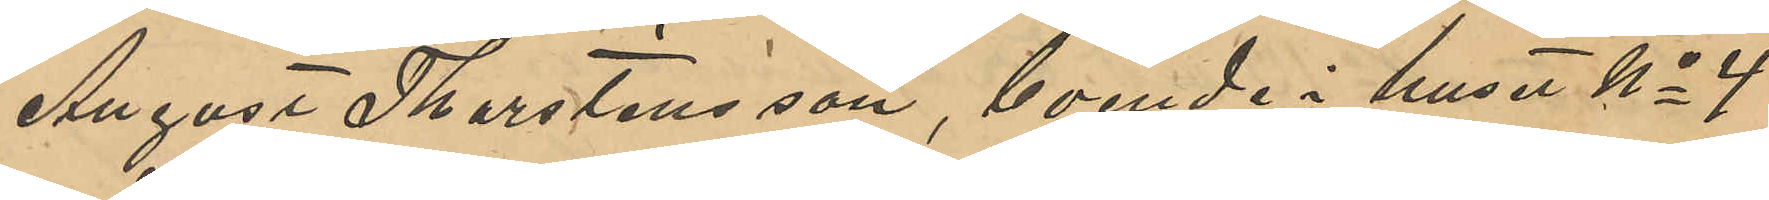August Thorstensson, boende i huset No 4
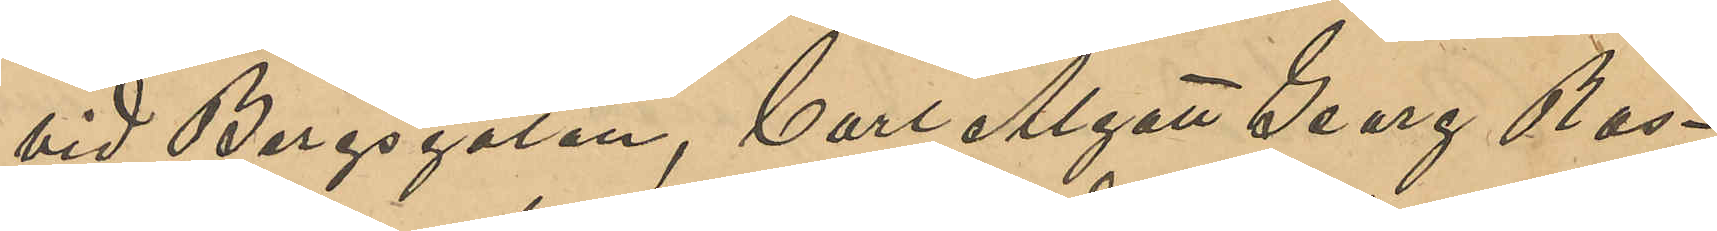vid Bergsgatan, Carl Algot Georg Ras¬
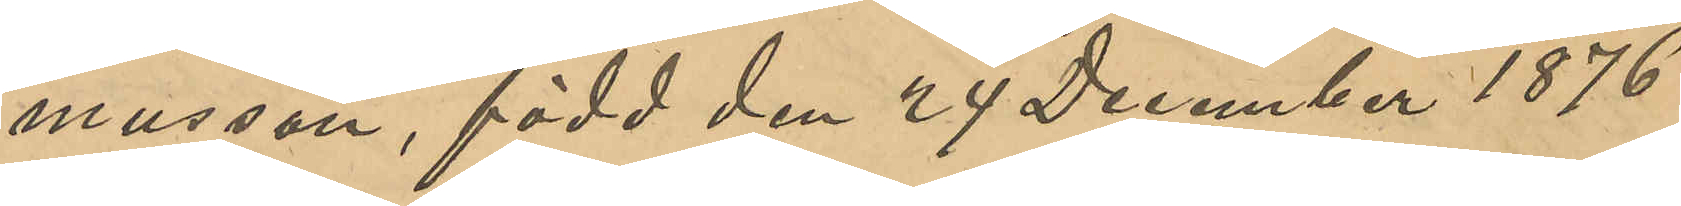musson, född den 24 December 1876
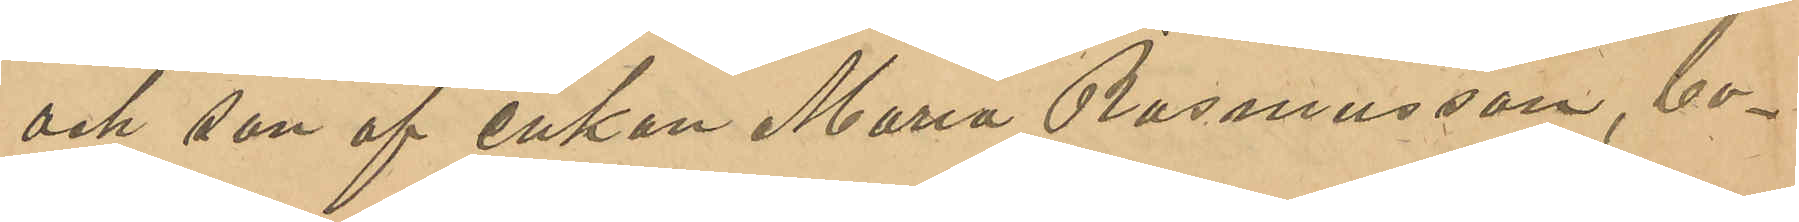och son af enkan Maria Rasmusson, bo¬
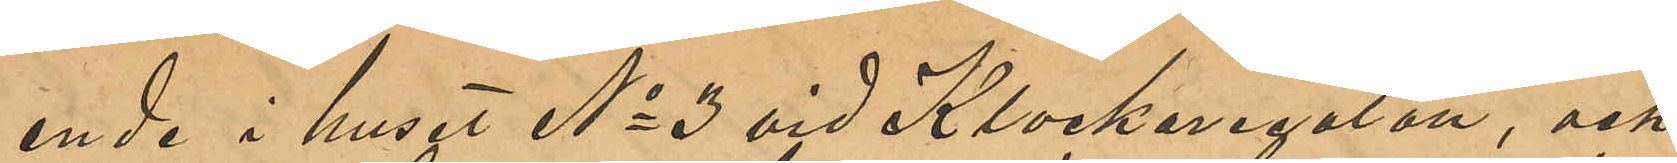ende i huset No 3 vid Klockaregatan, och
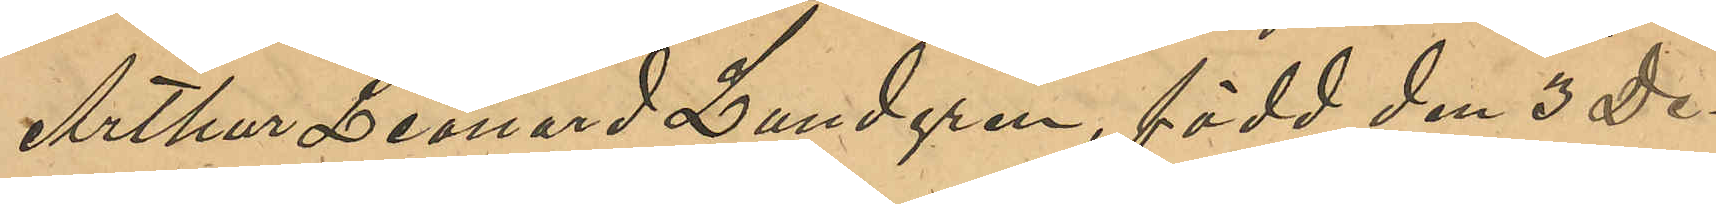Arthur Leonard Lundgren, född den 3 De¬
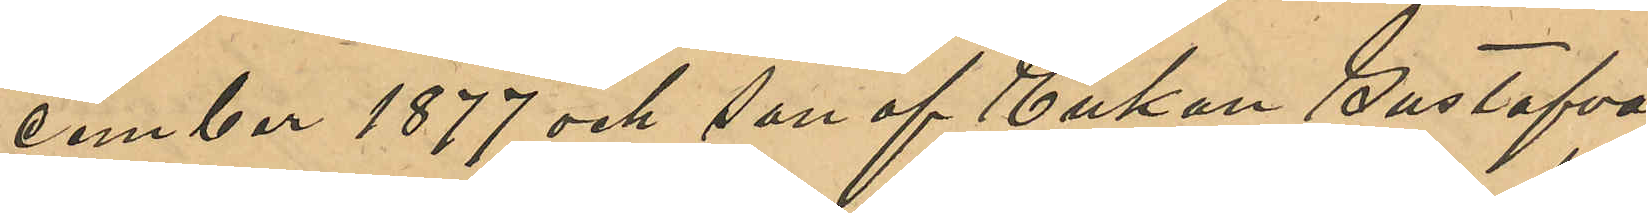cember 1877 och son af Enkan Gustafva
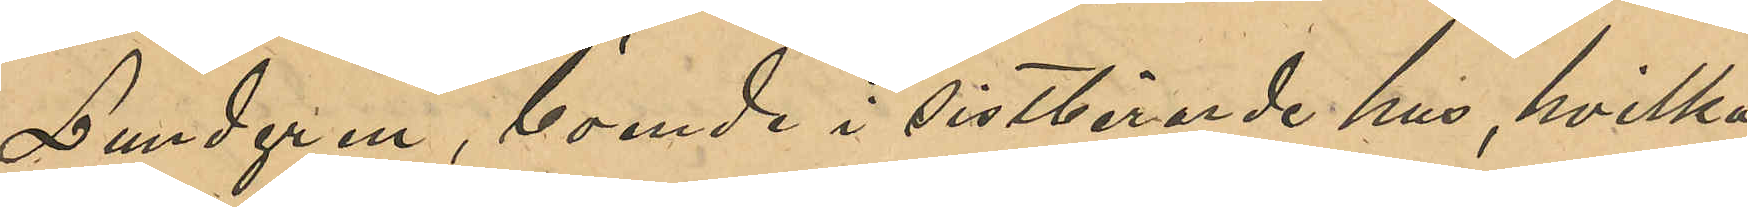Lundgren, boende i sistberörde hus, hvilka
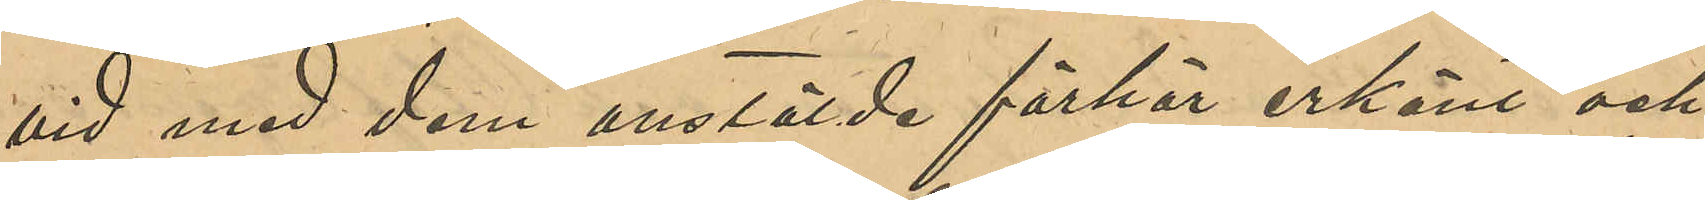vid med dem anstälde förhör erkänt och
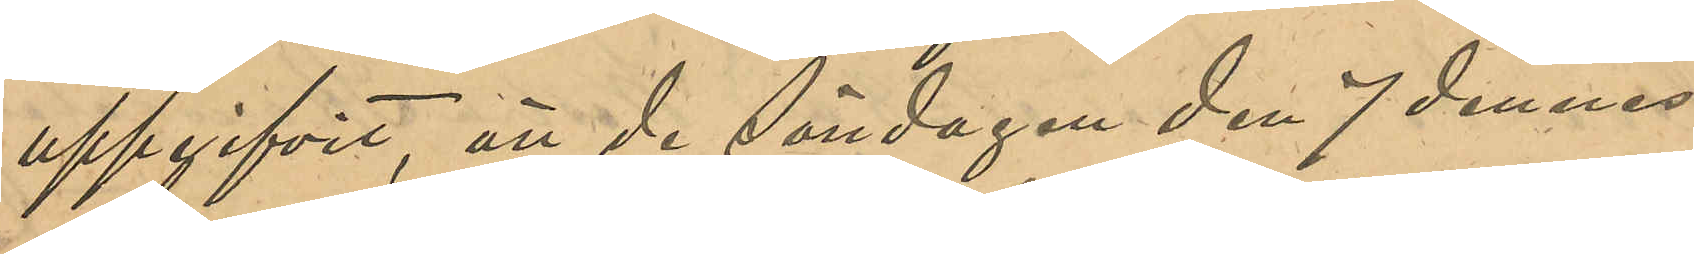uppgifvit, att de Söndagen den 7 dennes
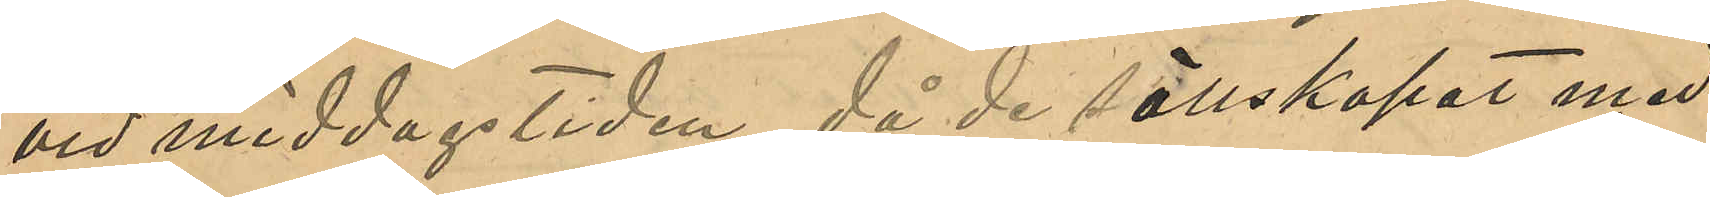vid middagstiden, då de sällskapat med
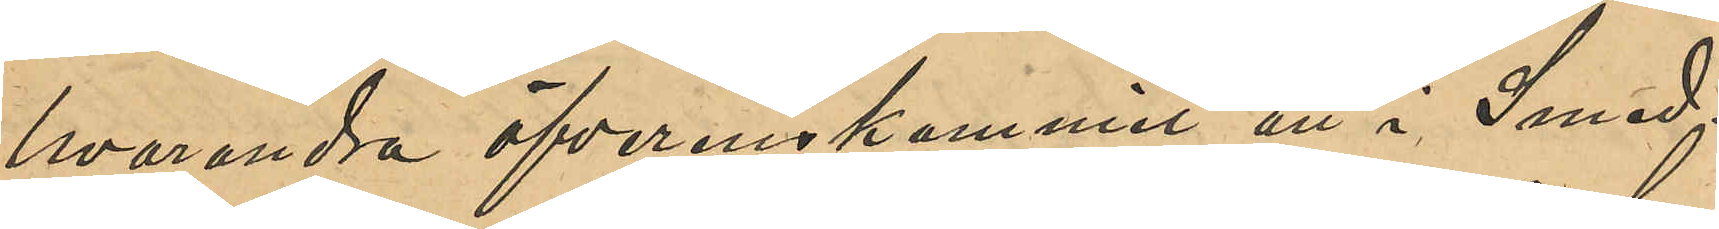hvarandra öfverenskommit att i Smed¬
